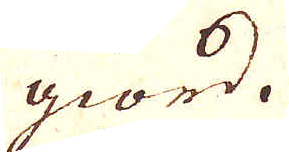giord.
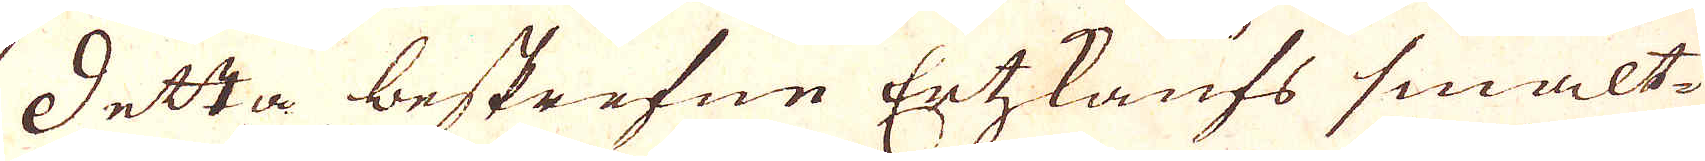Detta beskrefne Ertzkaufs smält-
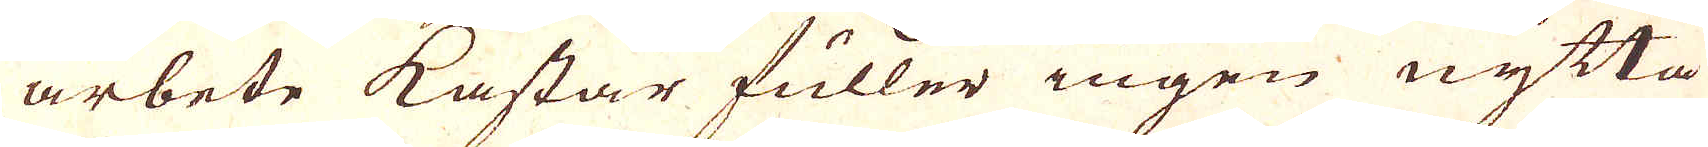arbete kastar fuller ingen nytta
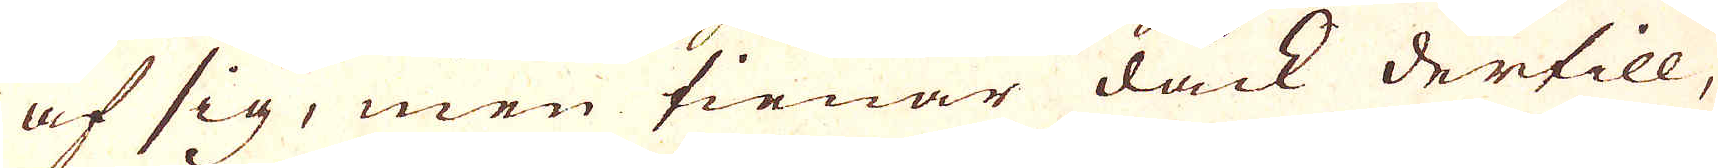af sig, men tienar dock dertill,
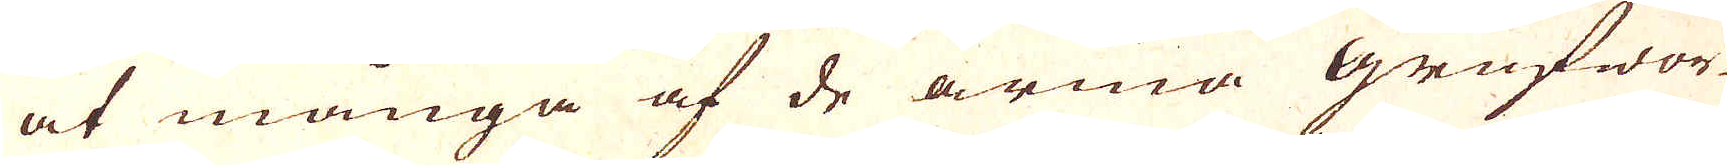at många af de arma Grufwor-
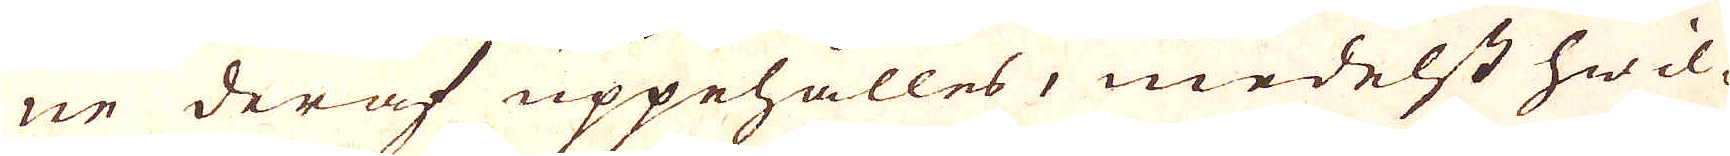ne deraf uppehålles, medelst hwil-
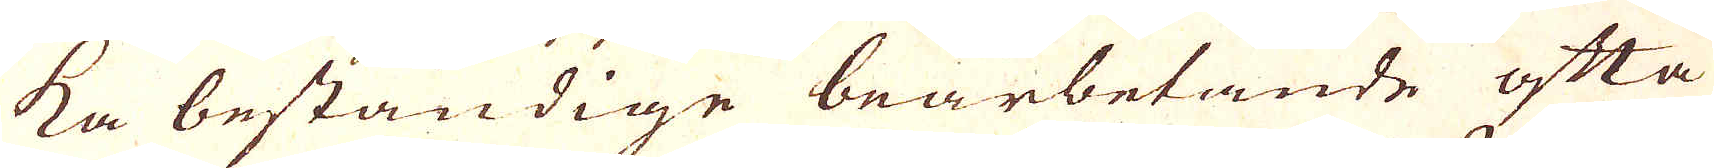ka beständige bearbetande ofta
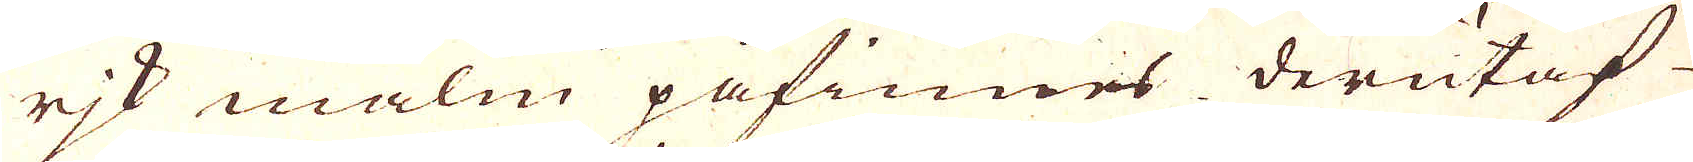rik malm påfinnes derutaf
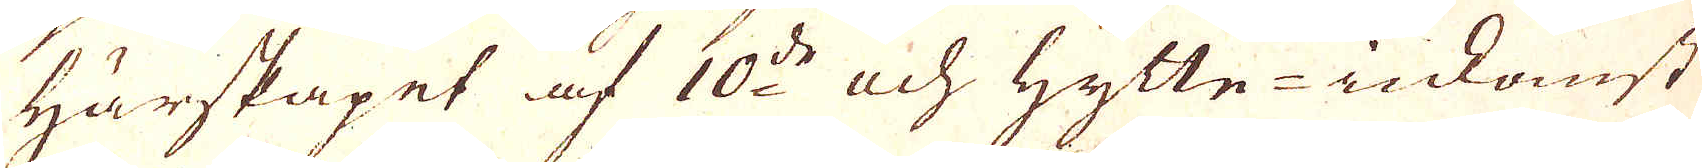härskapet af 10:de och hytte-inkomst
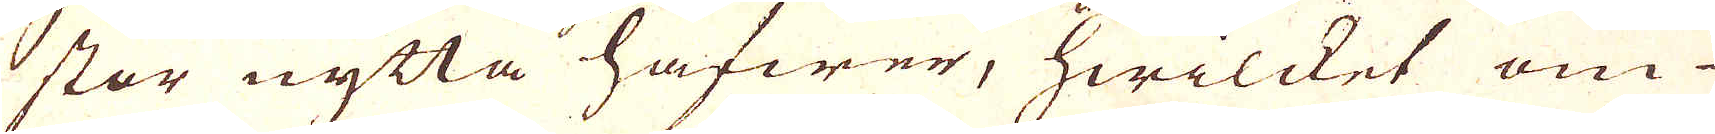stor nytta hafwer, hwilcket om
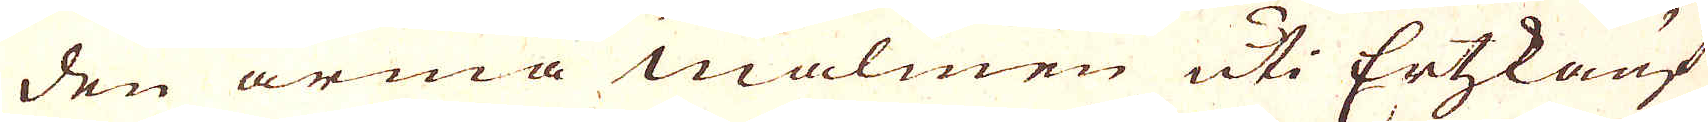den arma malmen uti Ertzkauf
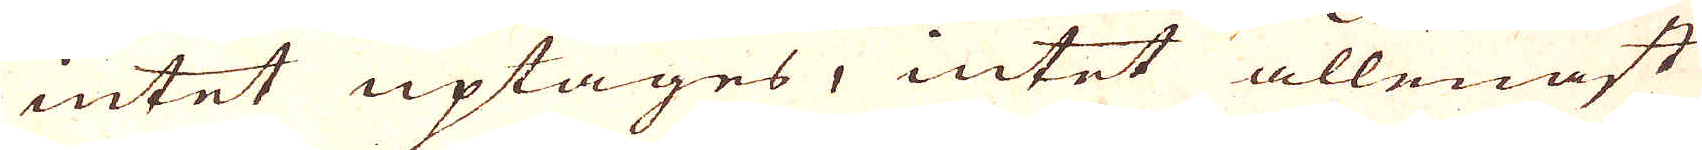intet uptages, intet allenast
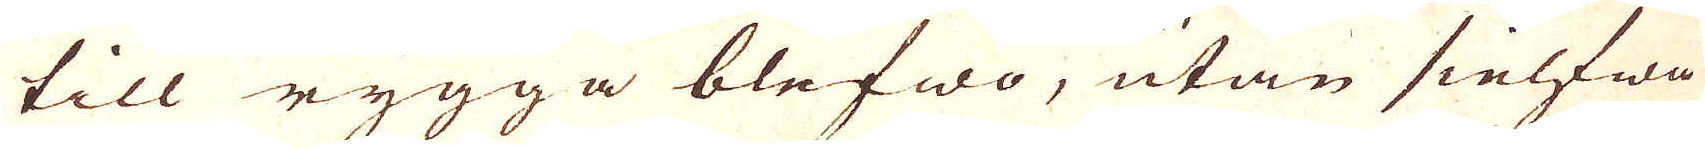till rygga blefwo, utan sielfwa
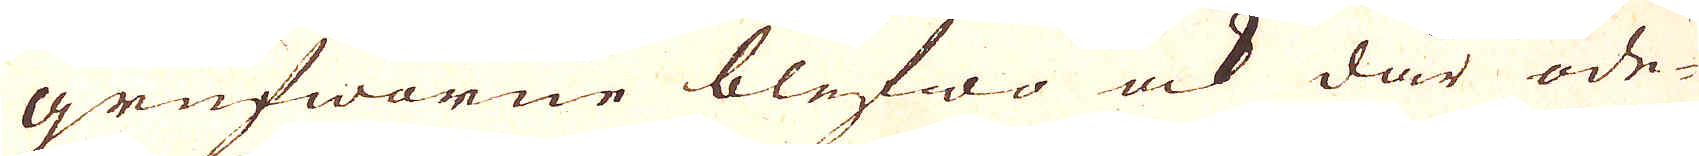grufworne blefwo ock där öde-
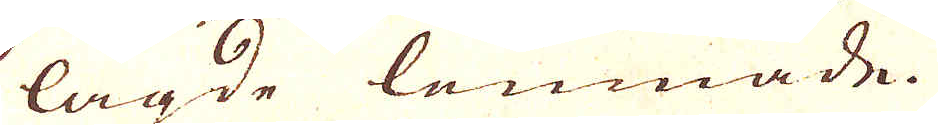lagde lemnade.
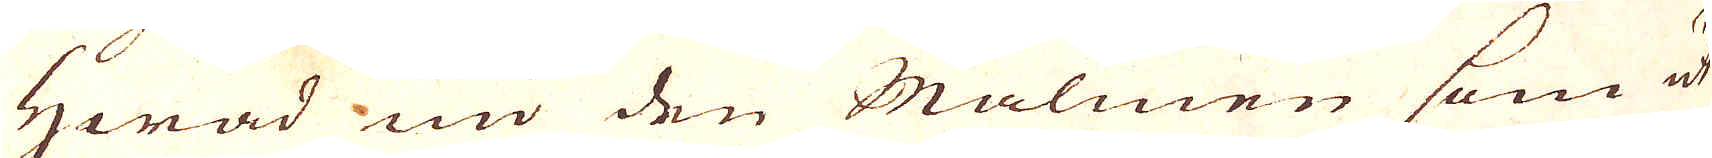Hwad nu den Malmen som ut
